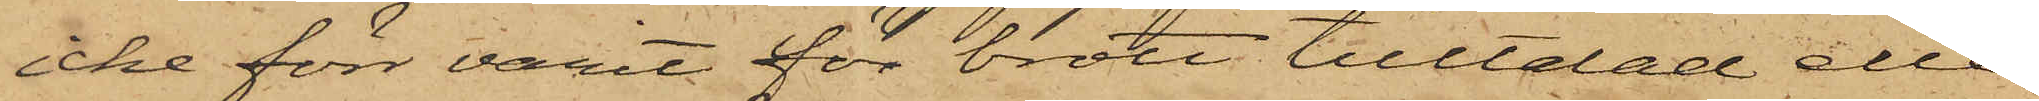icke förr varit för brott tilltalad eller
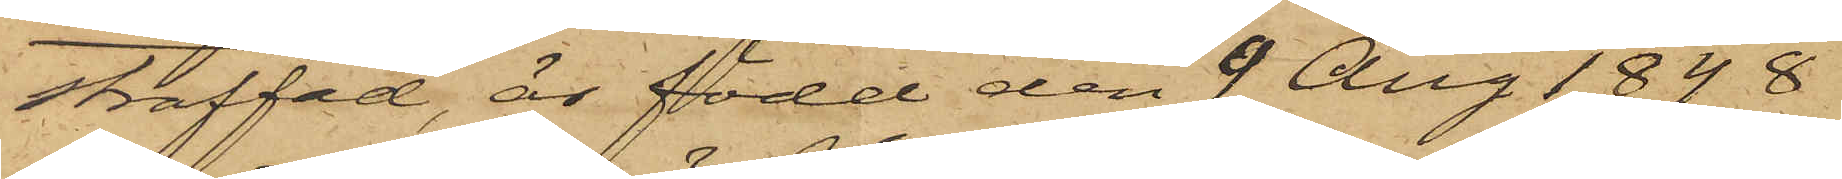straffad, är född den 9 Aug 1848
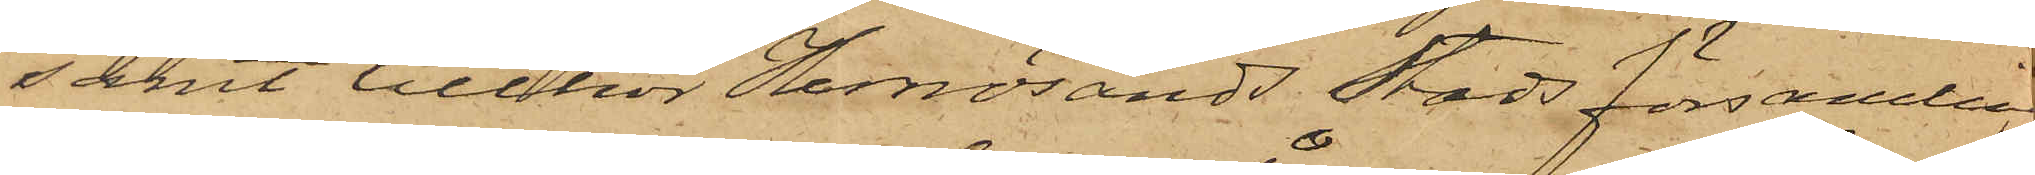samt tillhör Hernösands Stads församling   
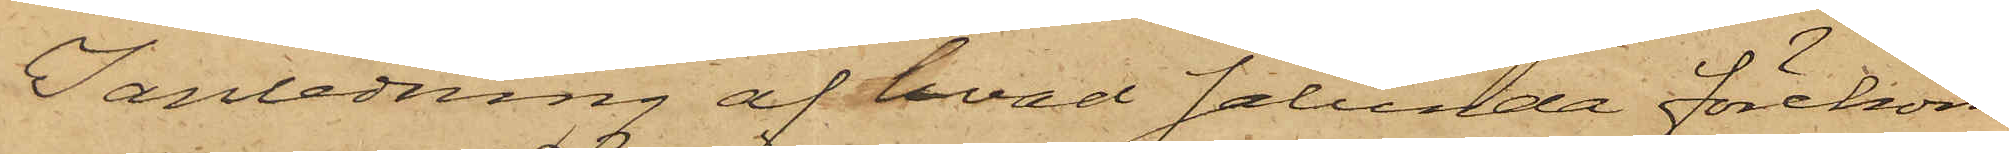I anledning af hvad sålunda förekom¬
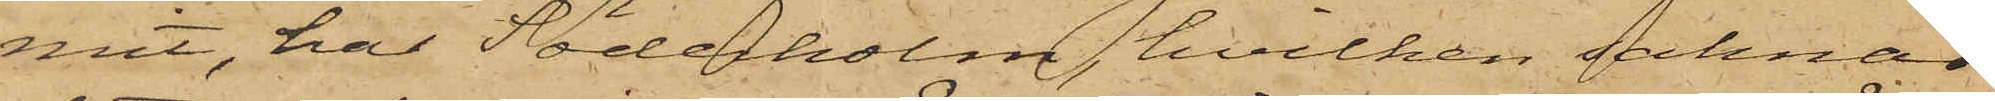mit, har Söderholm, hvilken saknar
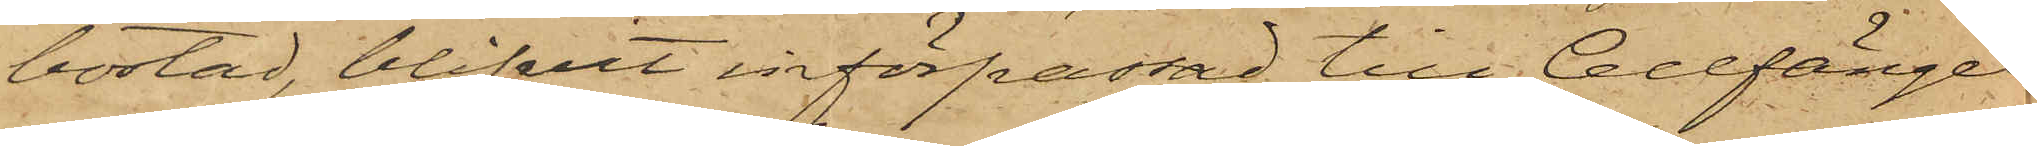bostad, blifvit införpassad till Cellfängel¬
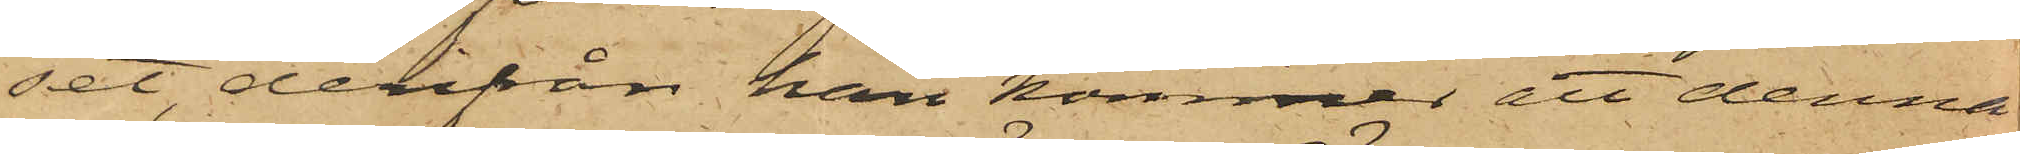set, derifrån han kommer att denna
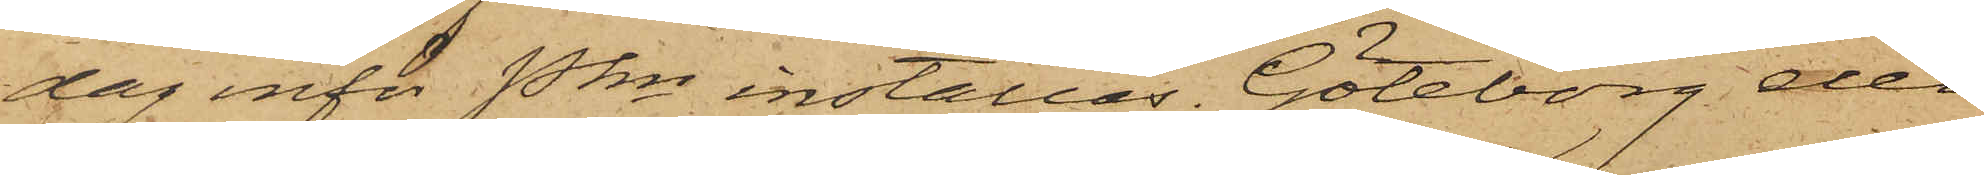dag inför Pkn inställas. Göteborg den
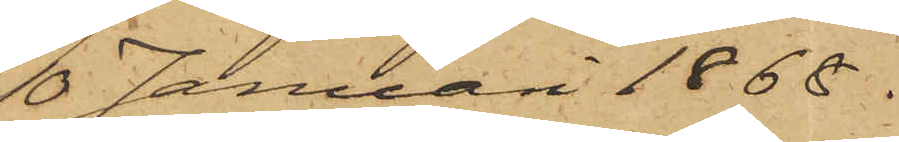10 Januari 1868.
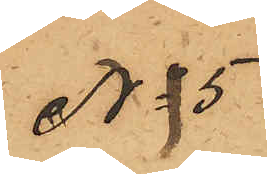No 5
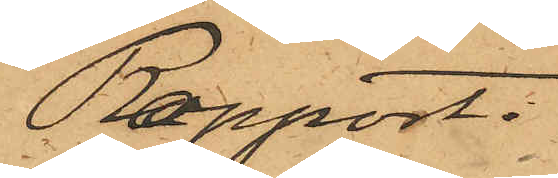Rapport.
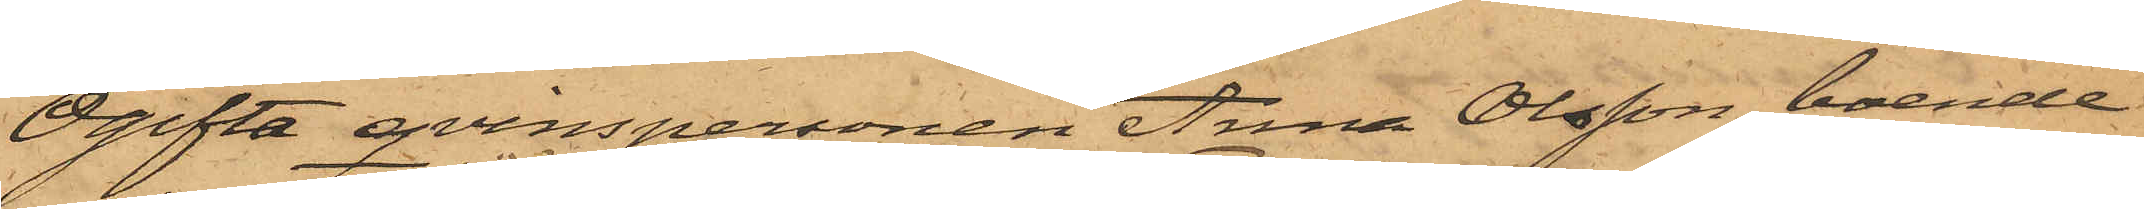Ogifta qvinspersonen Anna Olsson, boende
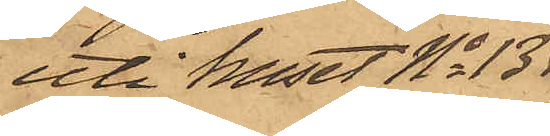uti huset No 13
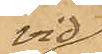vid
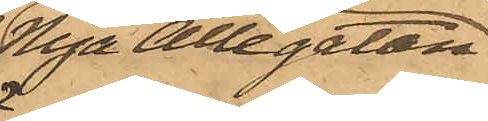Nya Allégatan
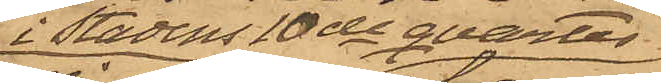i Stadens 10de qvarter
